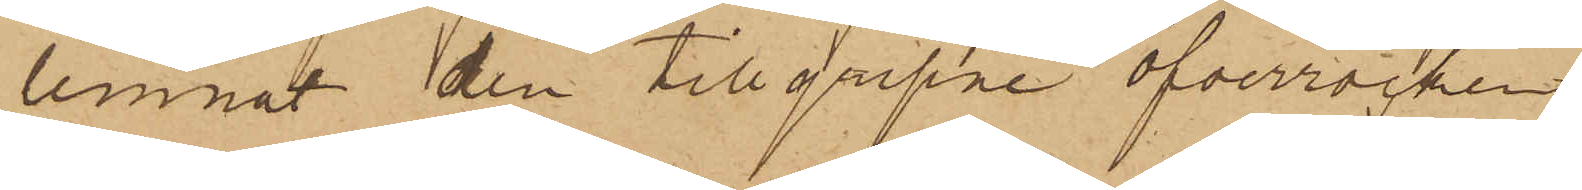lemnat den tillgripne öfverrocken,
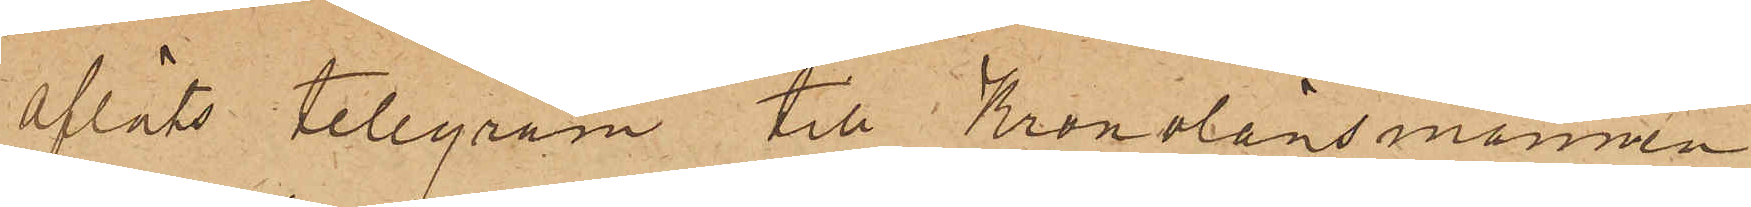afläts telegram till Kronolänsmannen
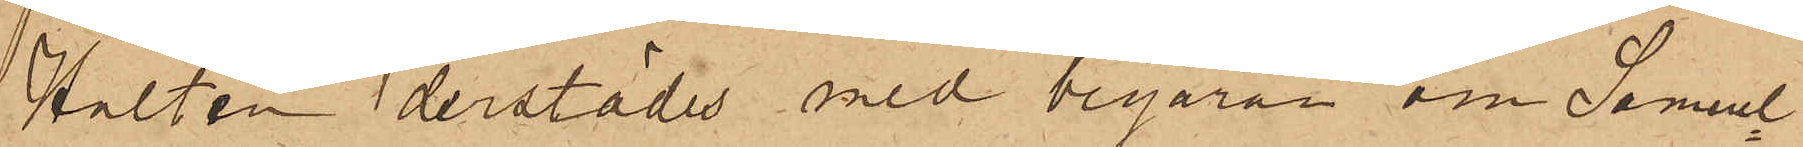Hultén derstädes med begäran om Samuel¬
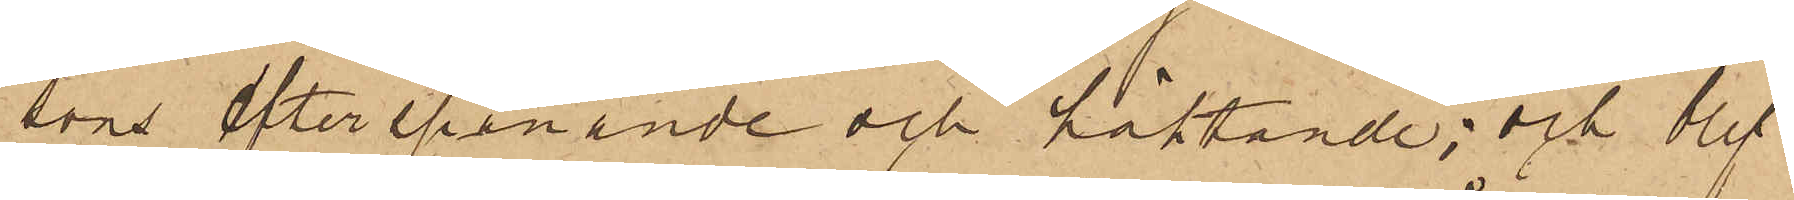sons efterspanande och häktande; och blef
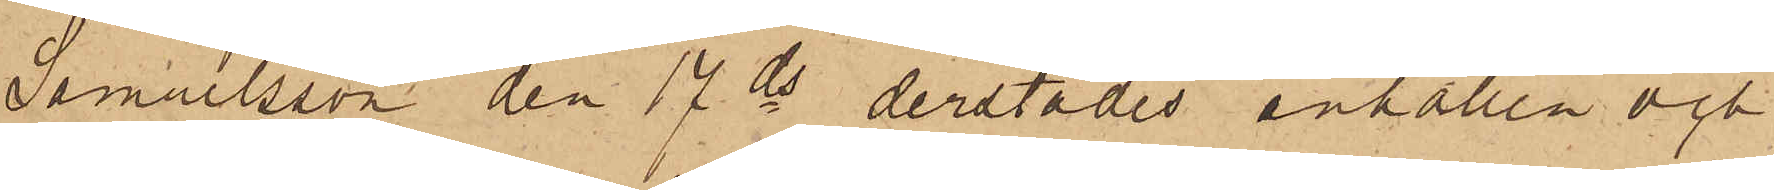Samuelsson den 17 ds derstädes anhållen och
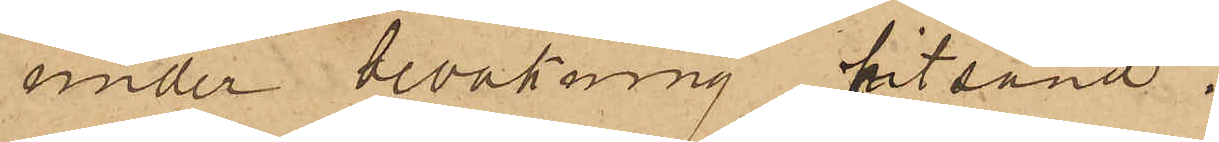under bevakning hitsänd.
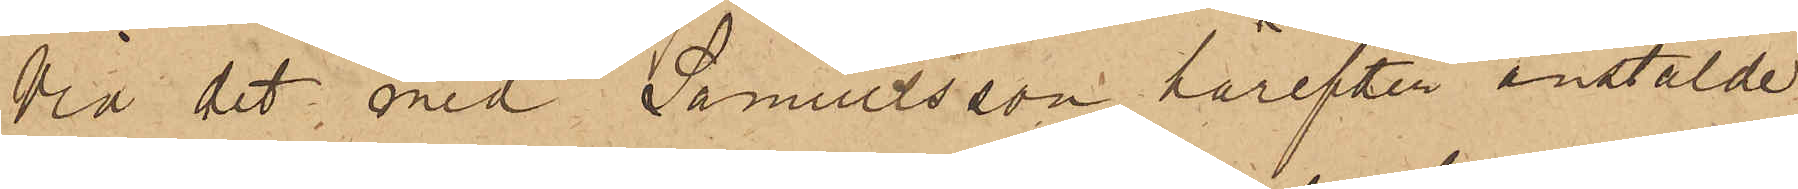Vid det med Samuelsson härefter anstälde
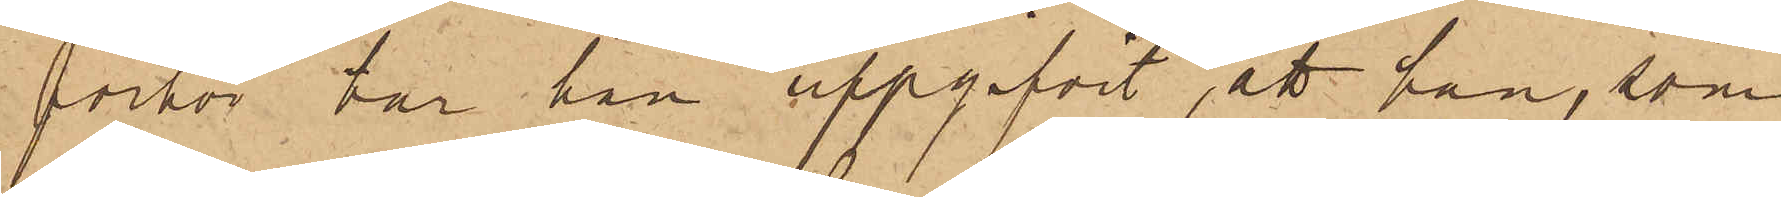förhör har han uppgifvit, att han, som
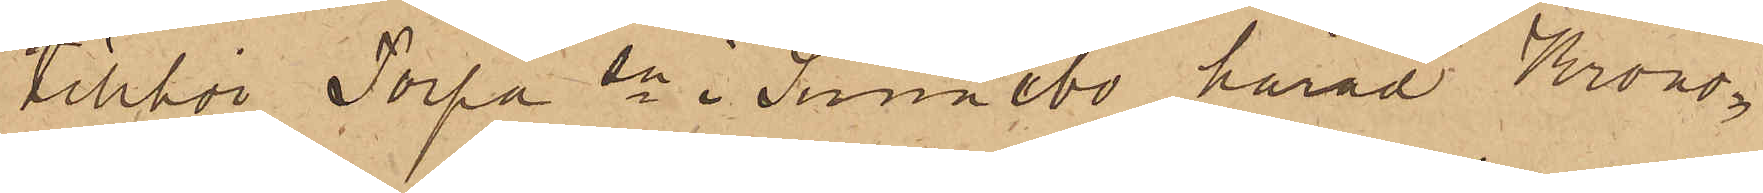tillhör Torpa sn i Sunnebo härad Krono¬
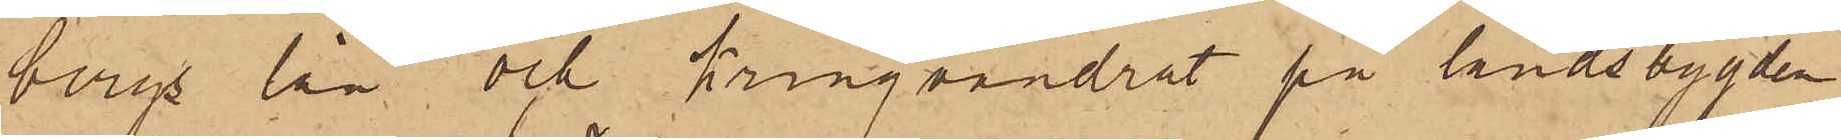bergs län och kringvandrat på landsbygden
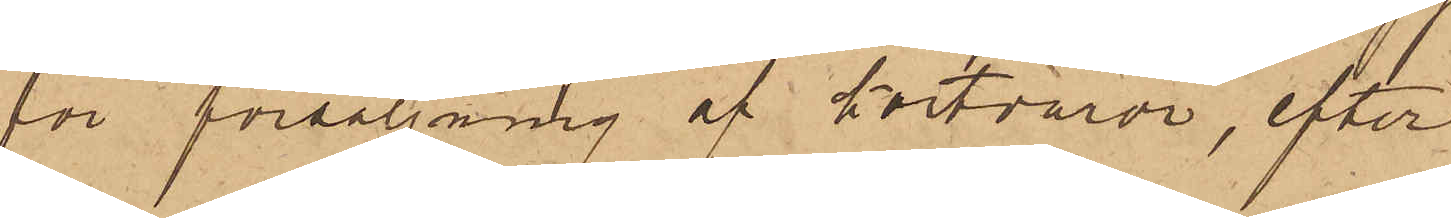för försäljning af kortvaror, efter
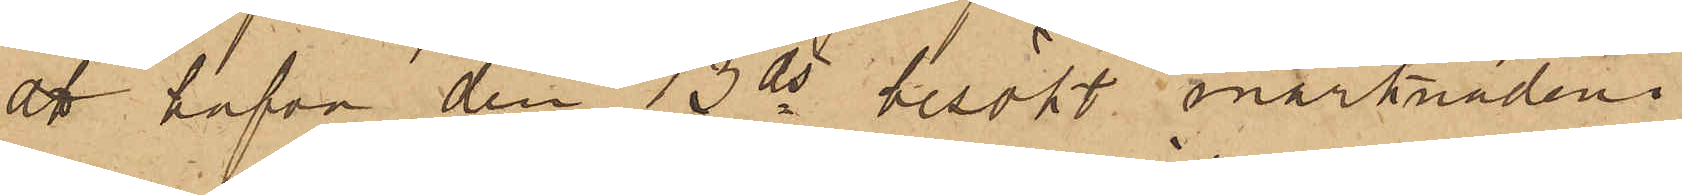att hafva den 13 ds besökt marknaden i
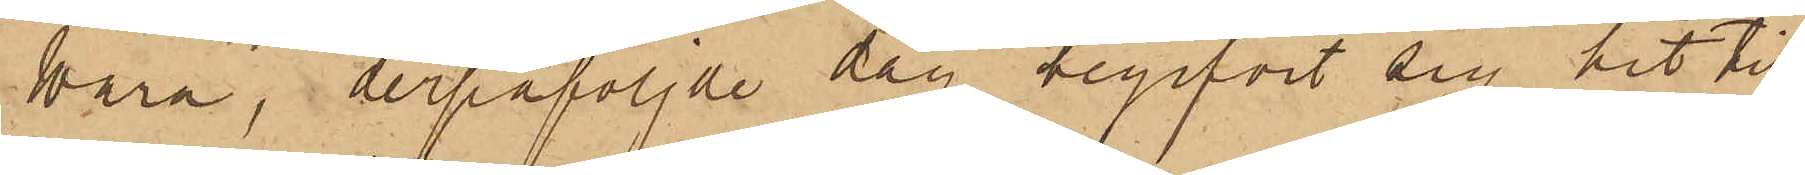Wara, derpåföljde dag begifvit sig hit till
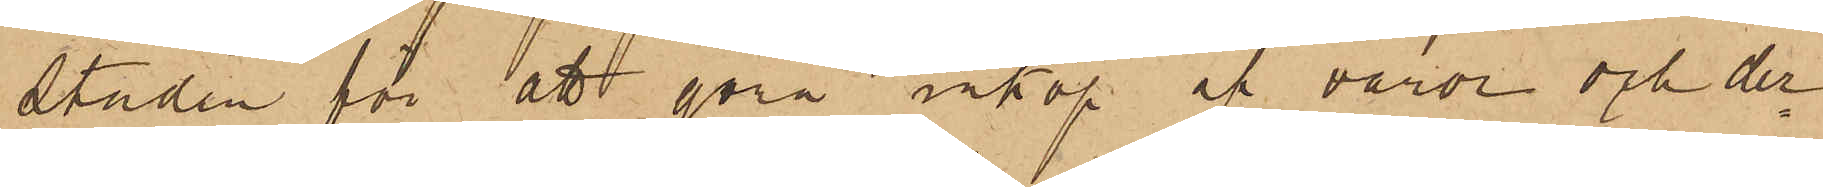Staden för att göra inköp af varor och der¬
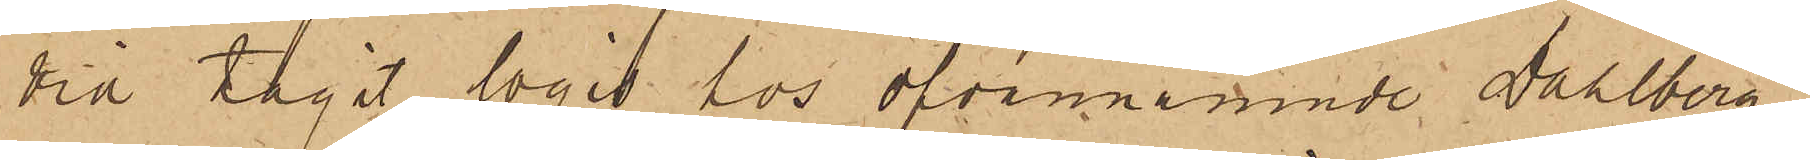vid tagit logis hos ofvannämnde Dahlberg;
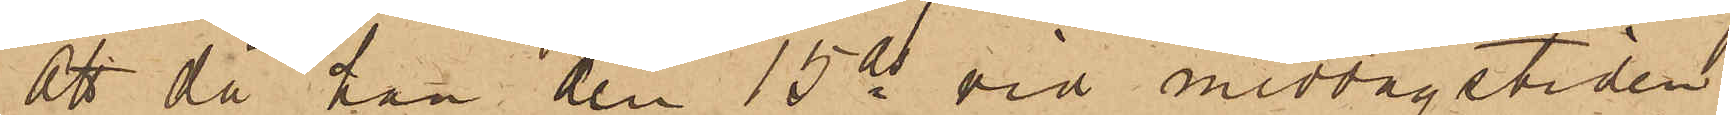att då han den 15 ds vid middagstiden
